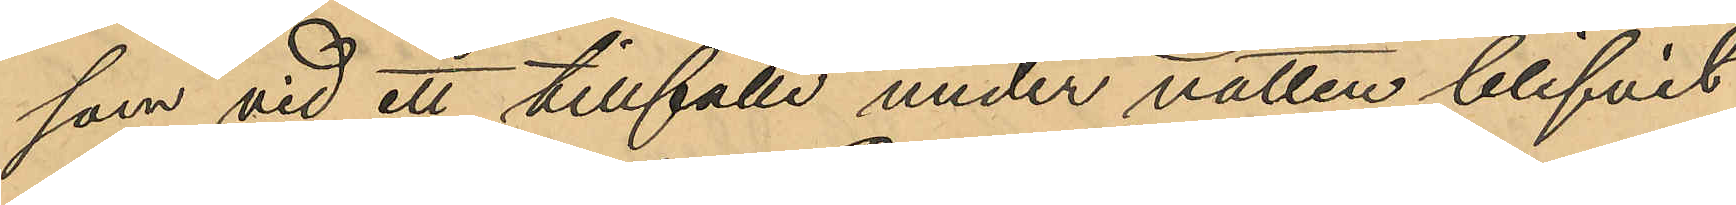som vid ett tillfälle under natten blifvit
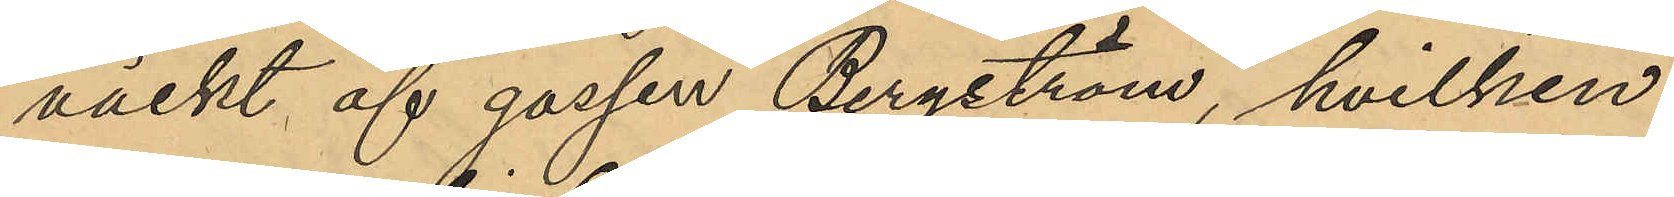väckt af gossen Bergström, hvilken
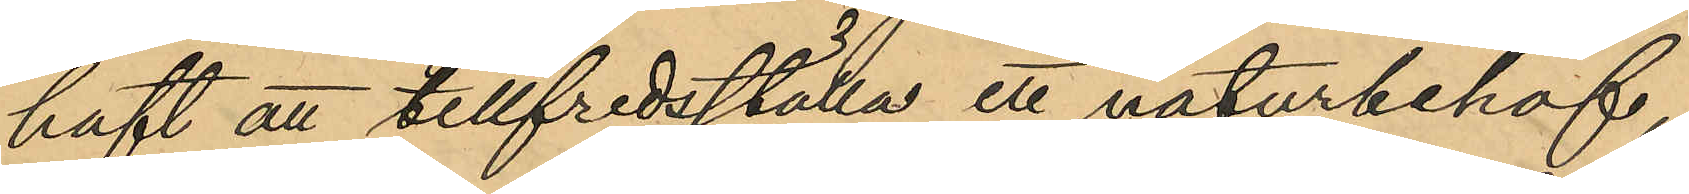haft att tillfredsställa ett naturbehof,
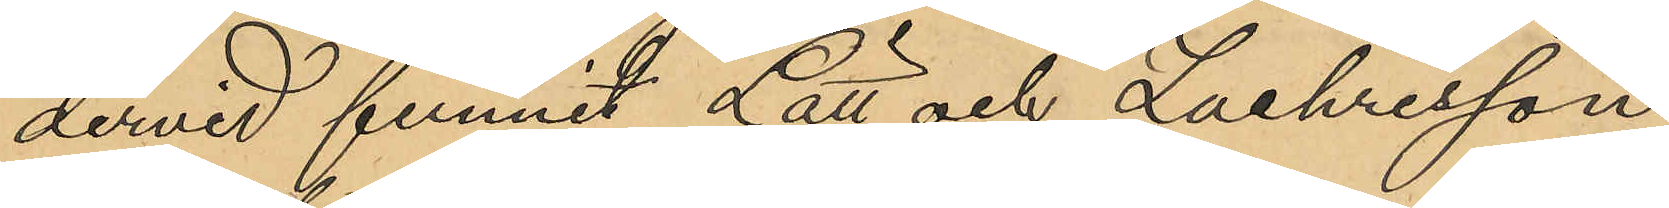dervid funnit Lätt och Zachrisson
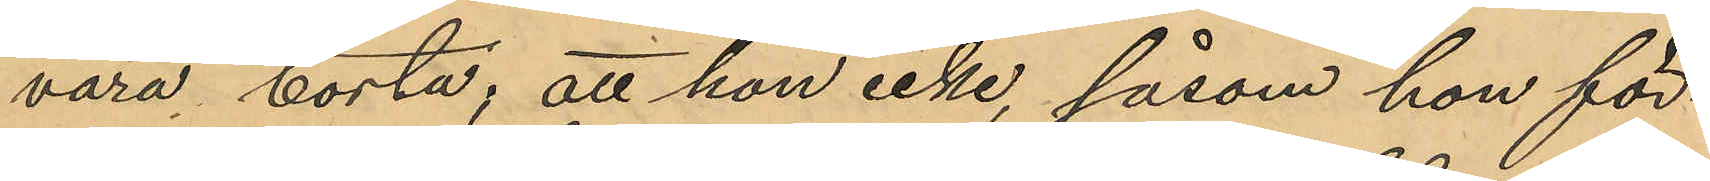vara borta; att hon icke, såsom hon för¬
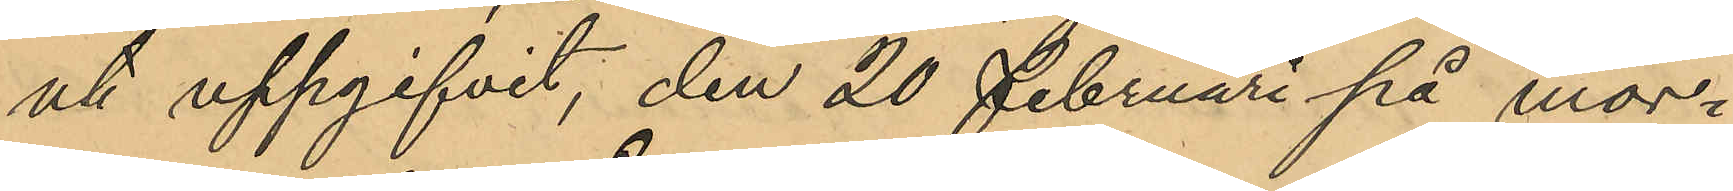ut uppgifvit, den 20 Februari på mor¬
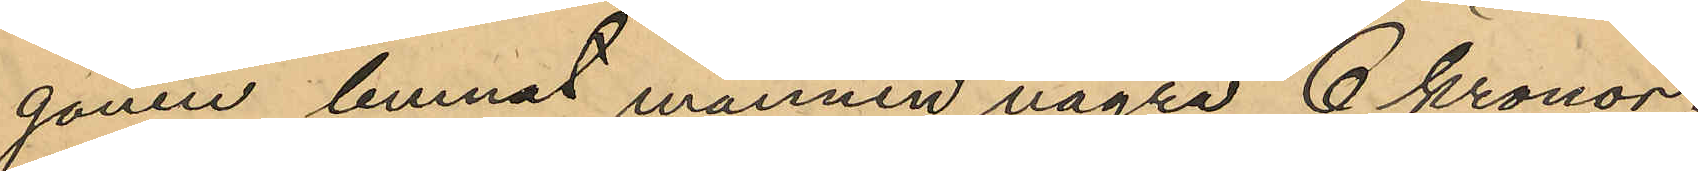gonen lemnat mannen några 6 kronor;
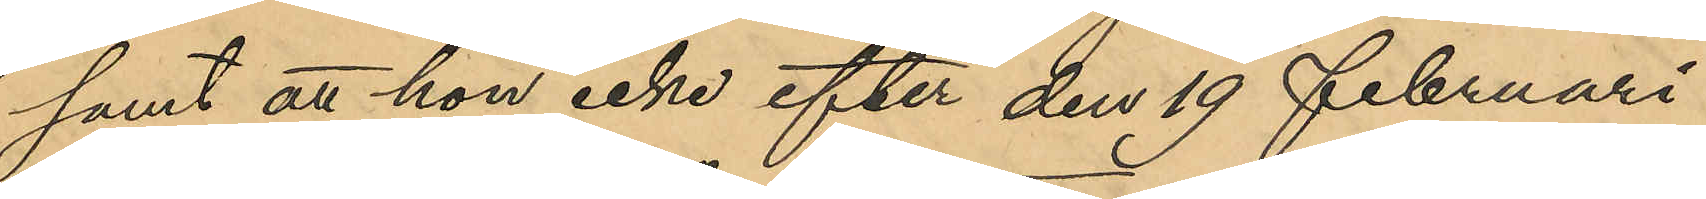samt att hon icke efter den 19 Februari
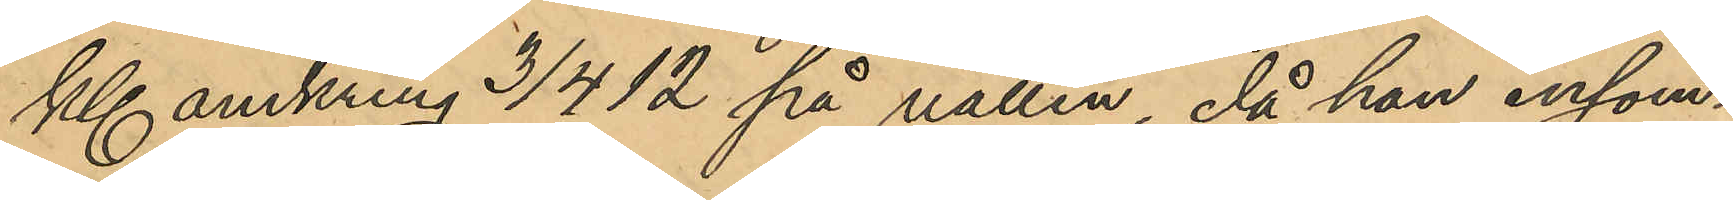kl. omkring 3/4 12 på natten, då han insom¬
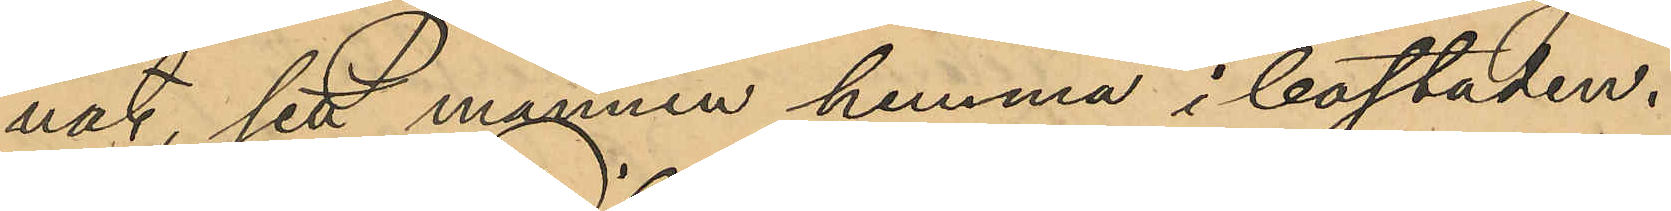nat, sett mannen hemma i bostaden.
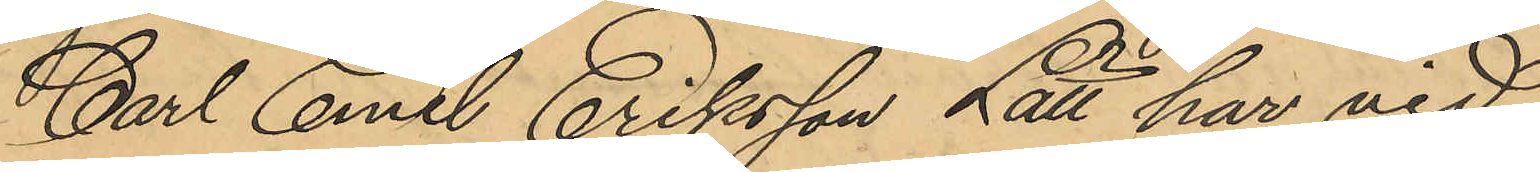Carl Emil Eriksson Lätt har vid
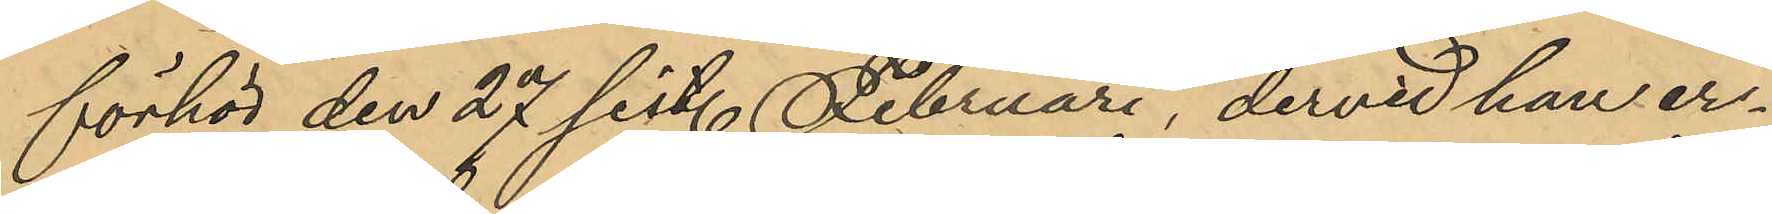förhör den 27 sist. Februari, dervid han er¬
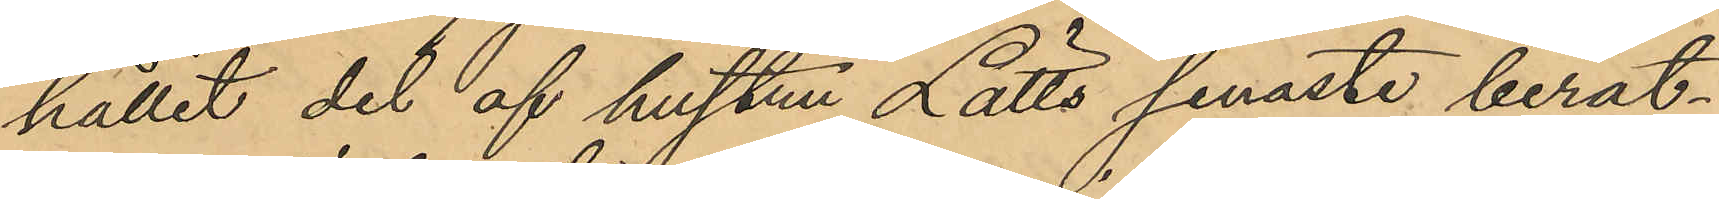hållit del af hustru Lätts senaste berät¬
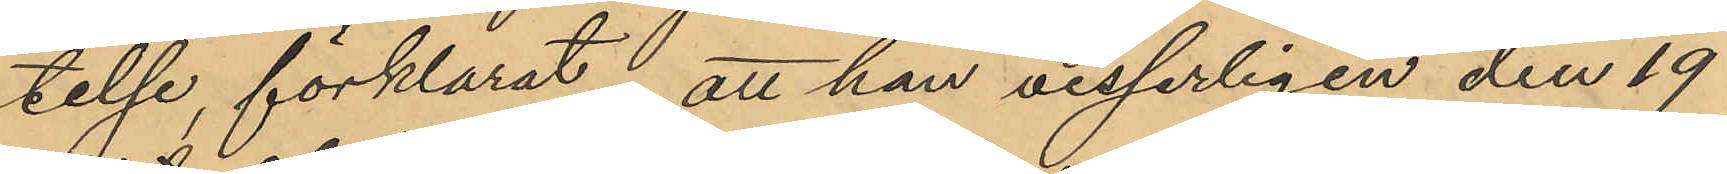telse, förklarat att han visserligen den 19
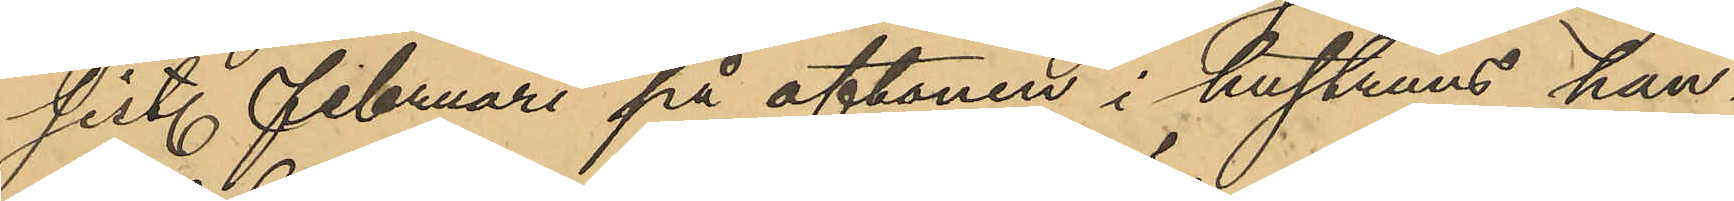sist. Februari på aftonen i hustruns han¬
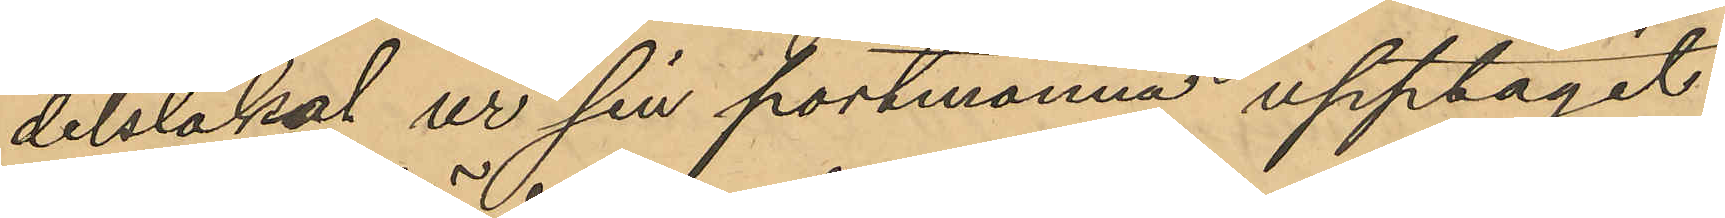delslokal ur sin portmonnä upptagit
